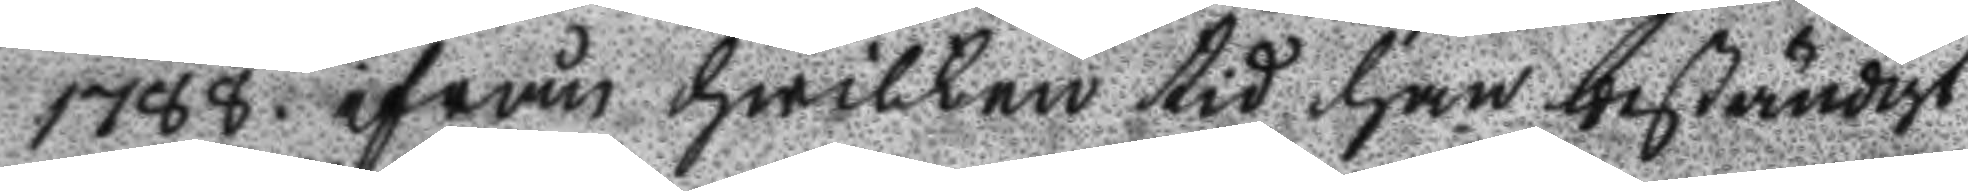1788 ifrån hwilken tid han beständigt
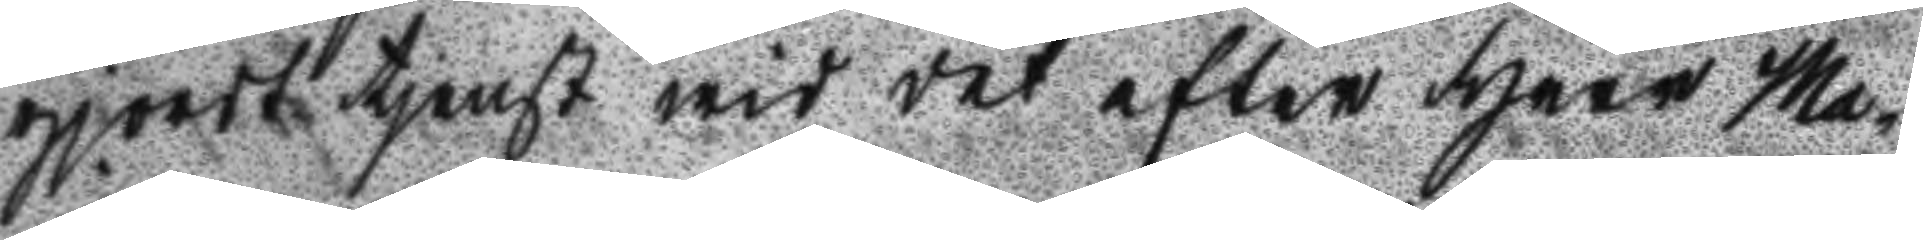gjort tjenst wid det efter Herr Ma¬
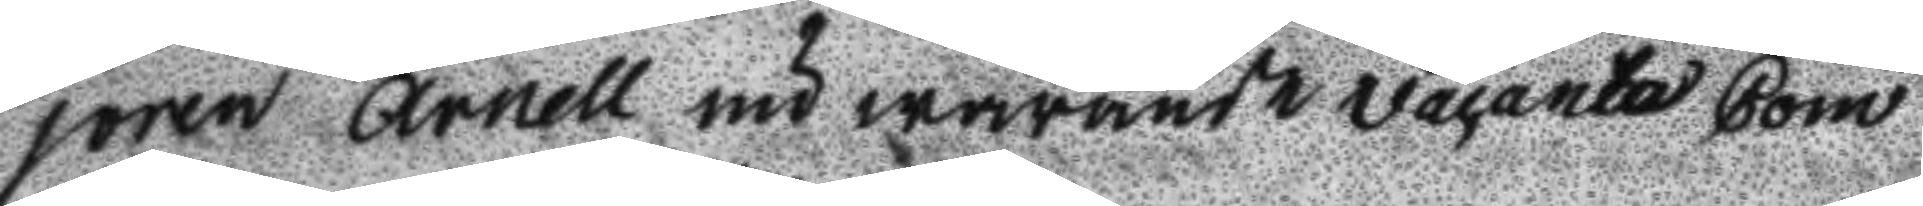joren Arnell nu warande vacanta Com
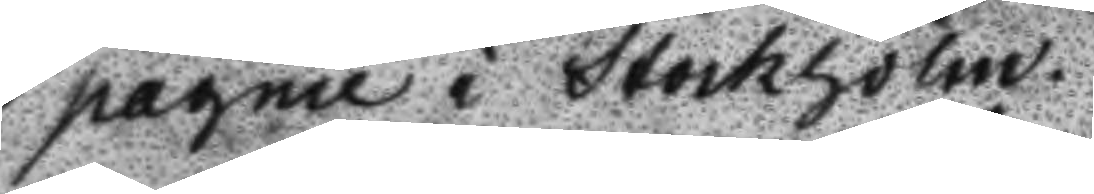pagnie i Stockholm.
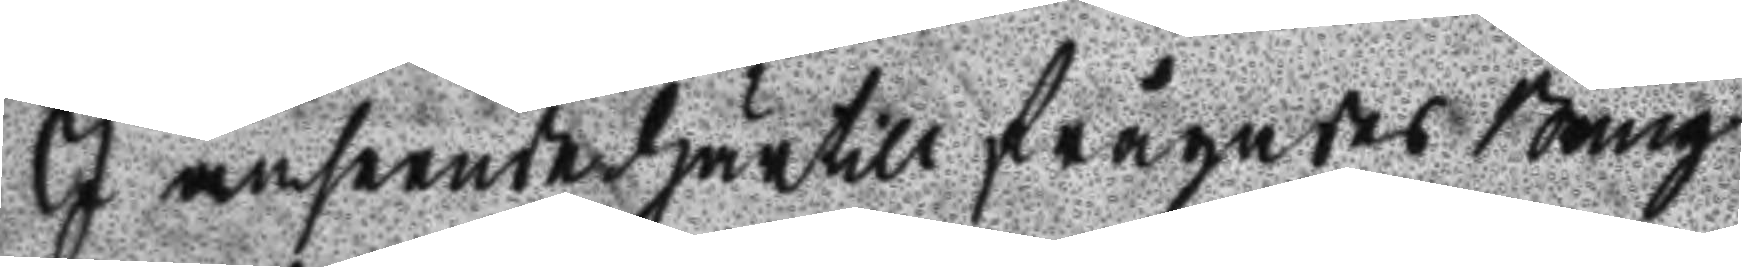I anseende härtill frågades Bång
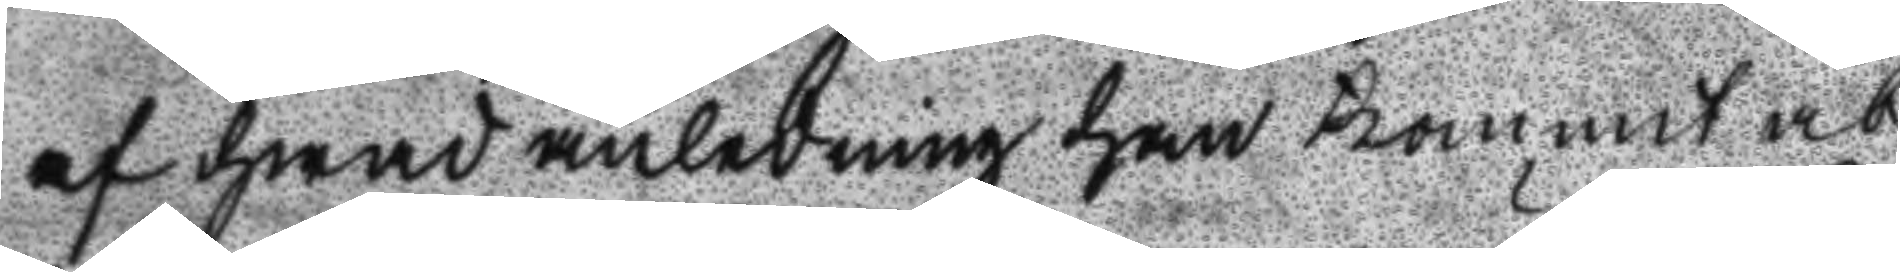af hwad anledning han kommit at
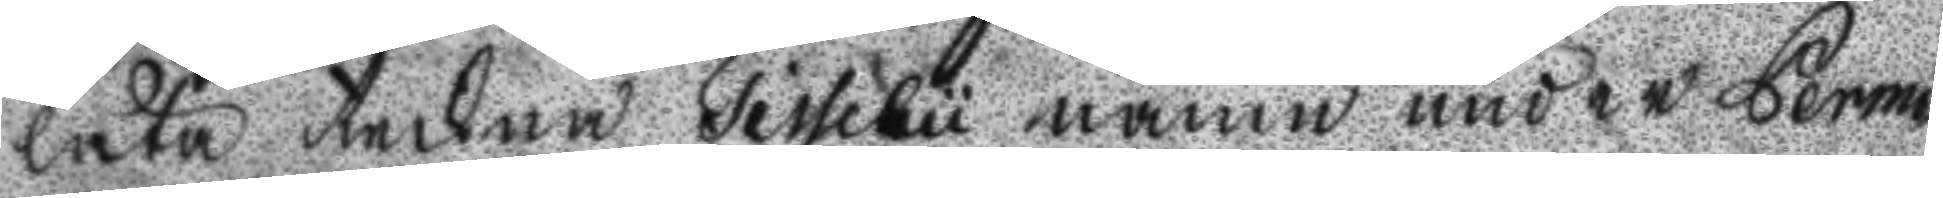låta teckna Tisselu namn under Permi¬
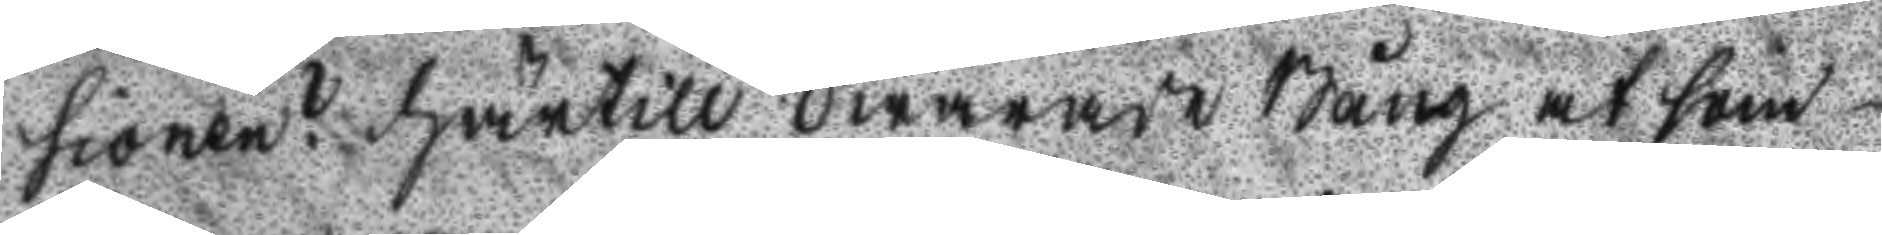sionen? Härtill Swarade Bång at som
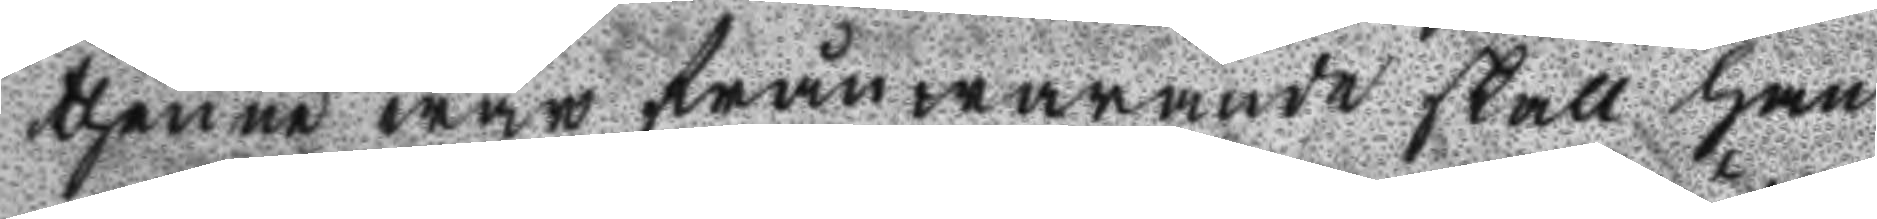thenne war frånwarande skall han
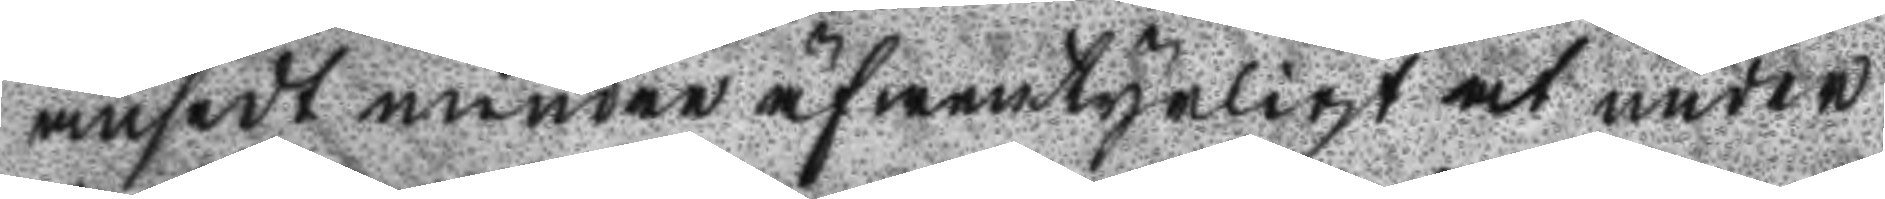ansedt mindre äfwentyrligt at under
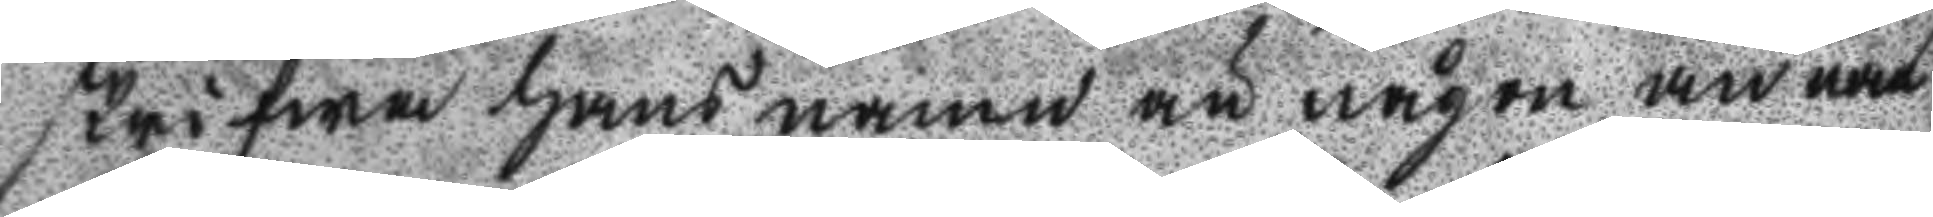skrifwa hans namn än någon annan
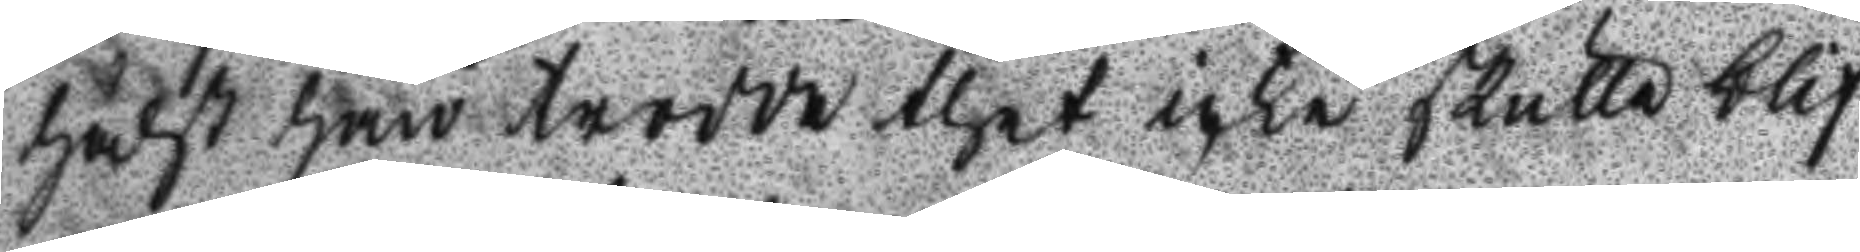hälst han trodde thet icke skulle blif
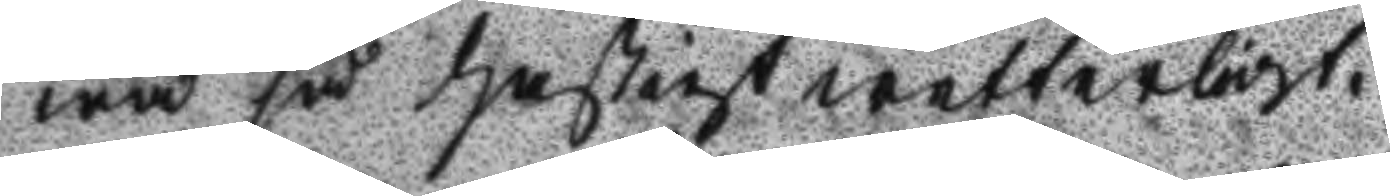wa så hastigt wetterlift.
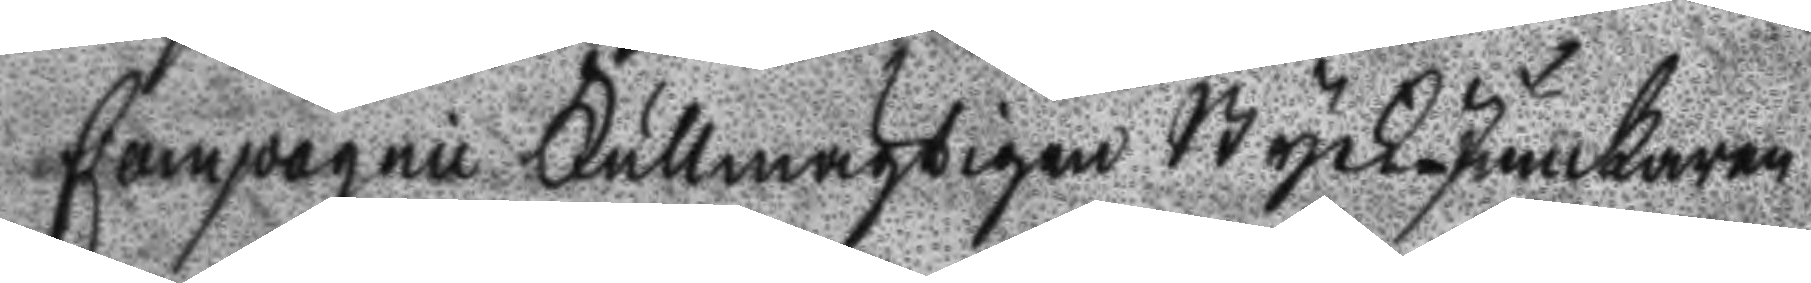Compagnie Fullmägtigen Styck junckaren
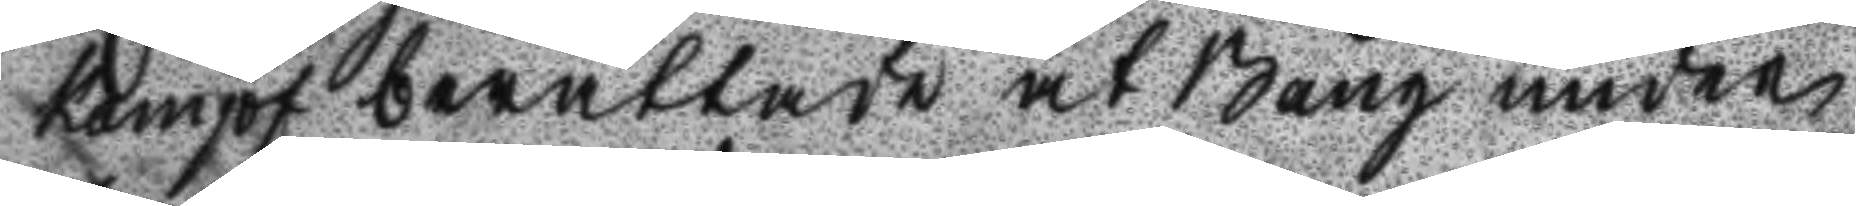Kampf berättade at Bång under
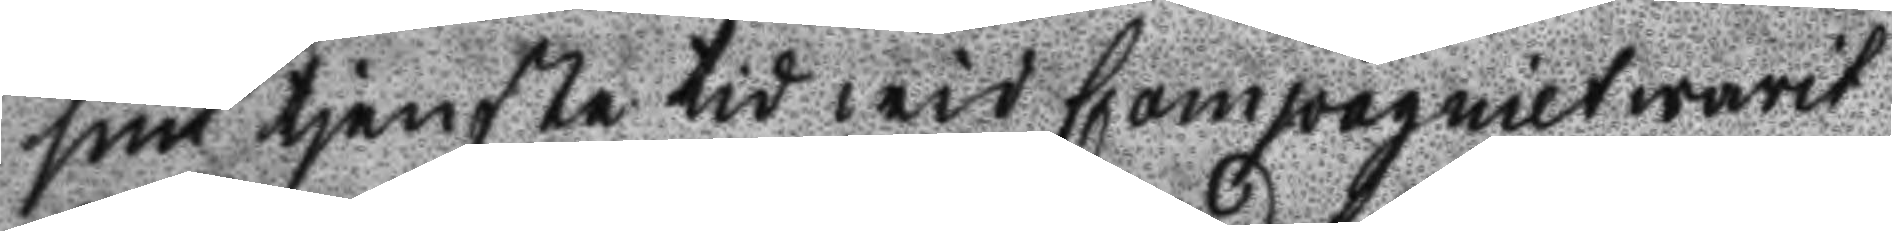sin tjenste tid wid Compagniet warit
